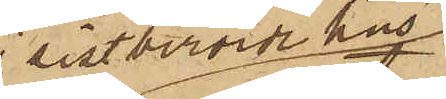i sistberörde hus
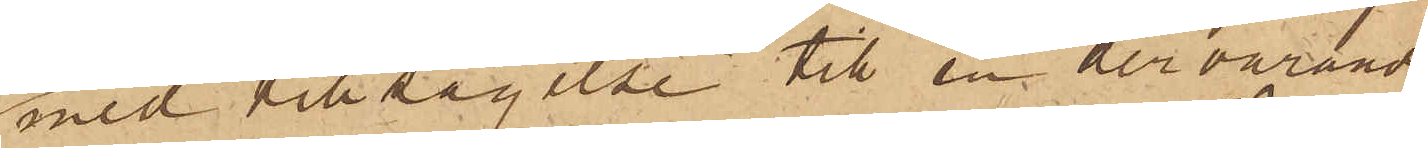med tillsägelse till en dervarande
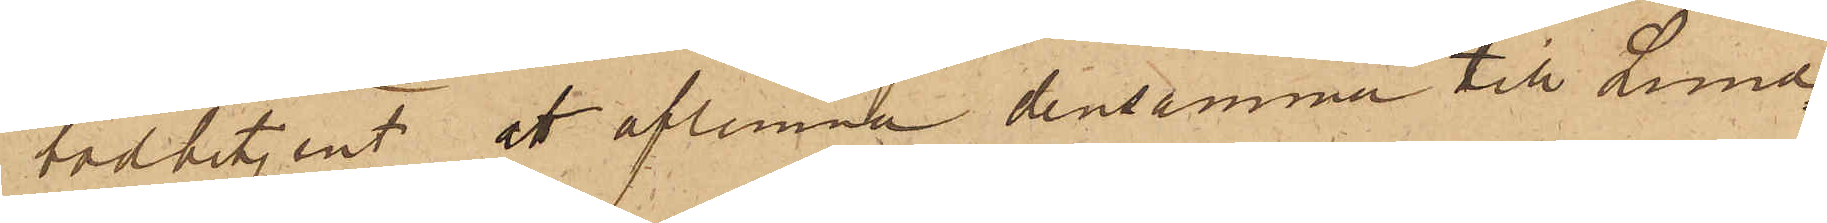bodbetjent att aflemna densamma till Lund¬
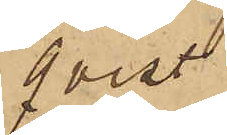qvist
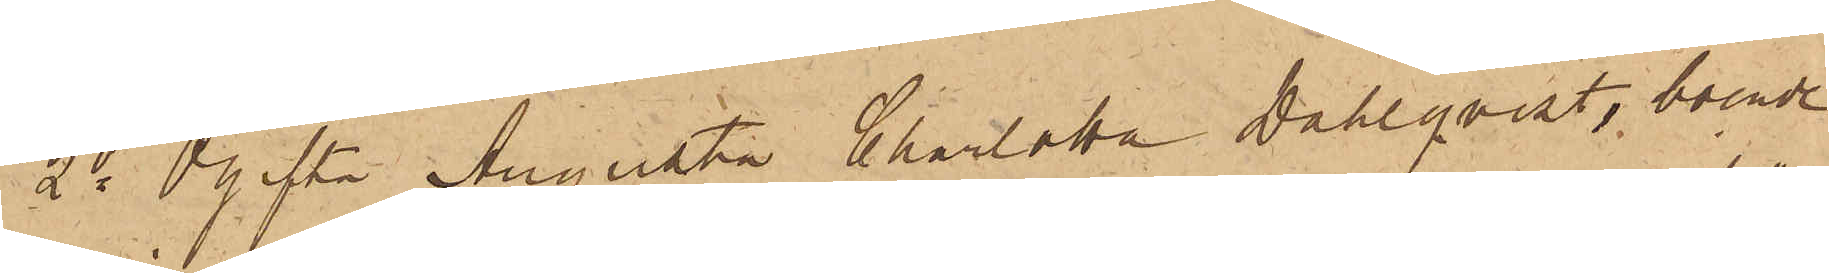2o Ogifta Augusta Charlotta Dahlqvist, boende
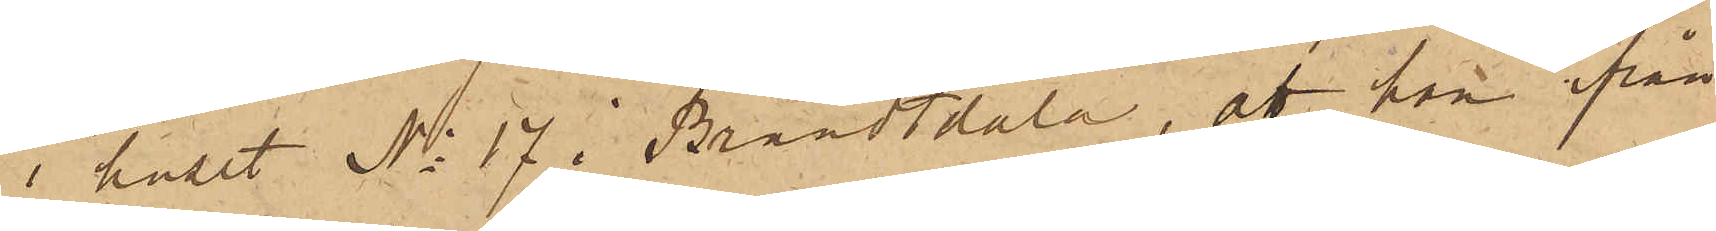i huset No 17 i Brandtdala, att hon ifrån
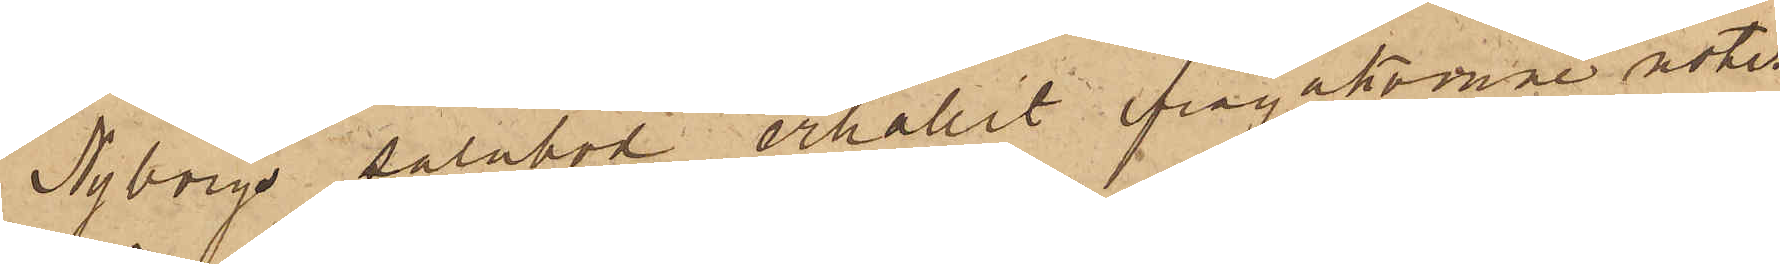Nyborgs salubod erhållit ifrågakomne notis
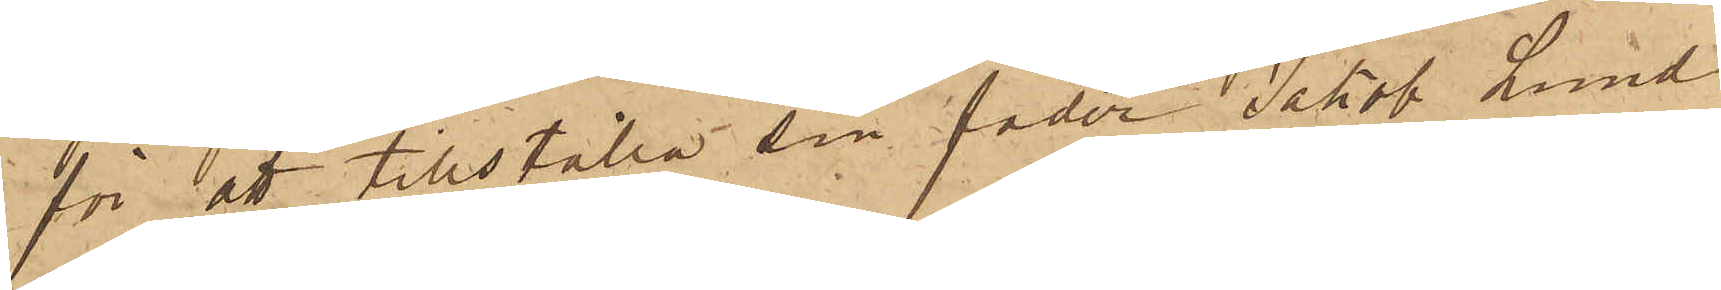för att tillställa sin fader Jakob Lund¬
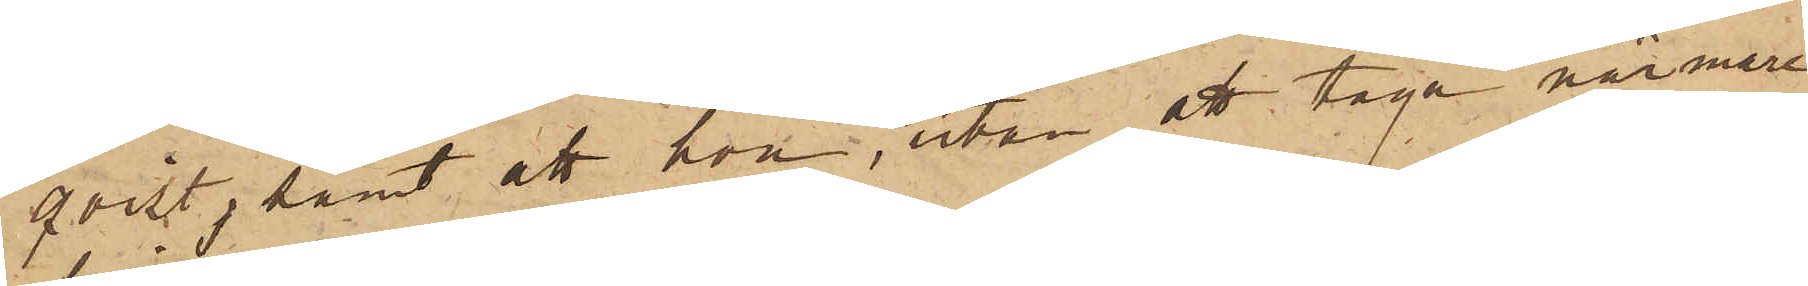qvist, samt att hon, utan att taga närmare
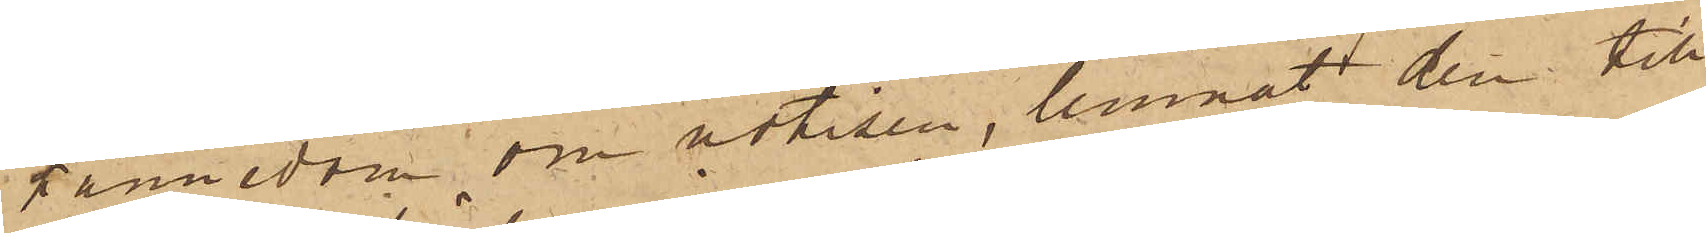kännedom om notisen, lemnat den till
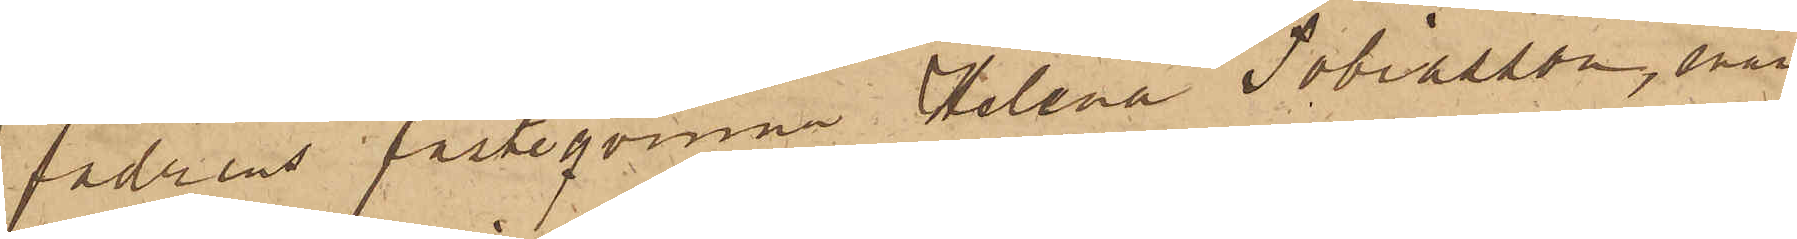fadrens fästeqvinna Helena Tobiasson, enär
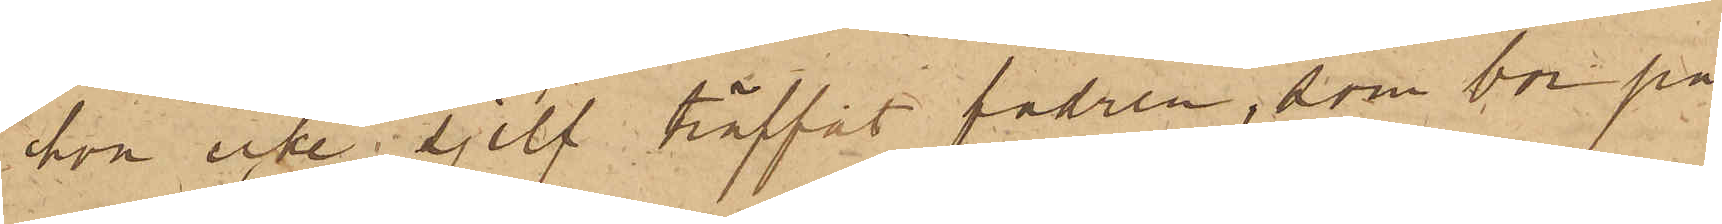hon icke sjelf träffat fadren, som bor på
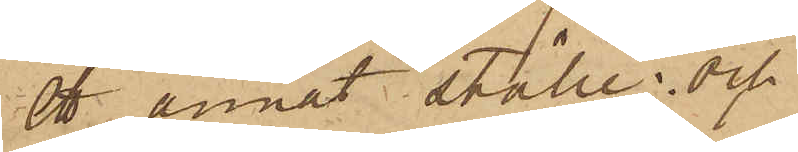ett annat ställe; och
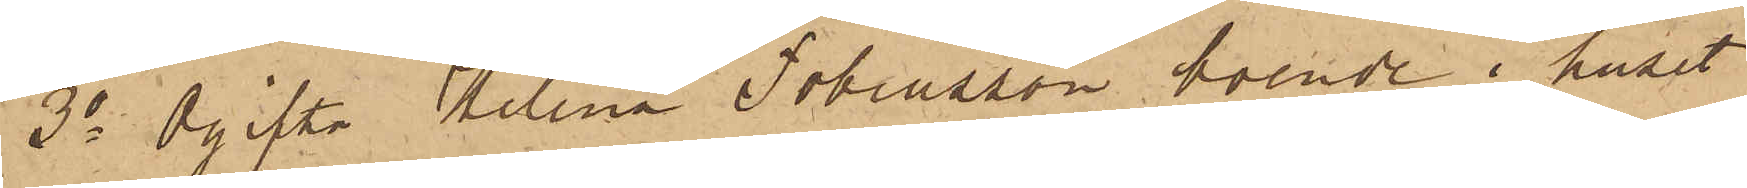3o Ogifta Helena Tobiasson, boende i huset
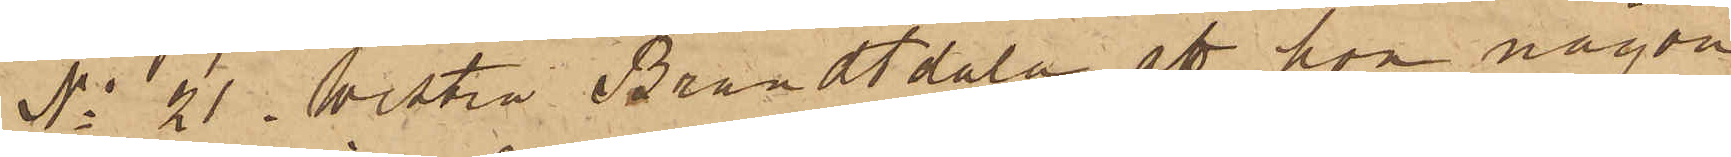No 21 i Westra Brandtdala, att hon någon
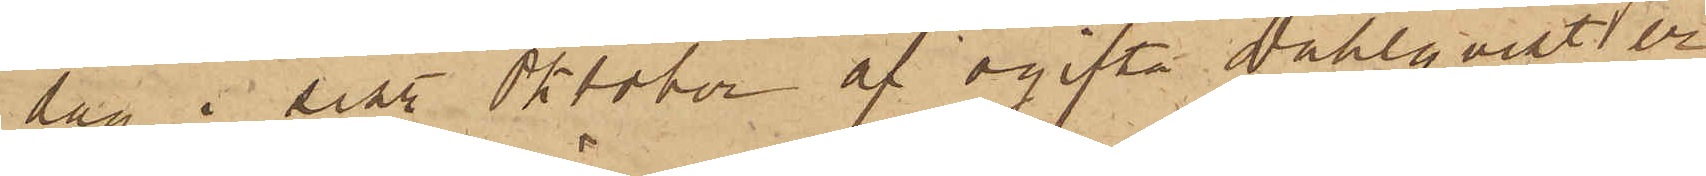dag i sist. Oktober af ogifta Dahlqvist er¬
